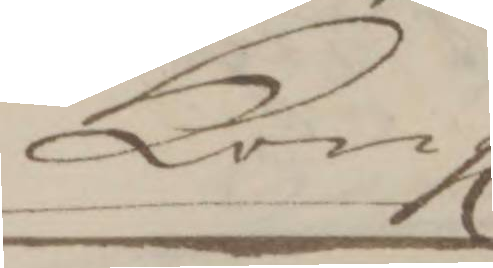Kongl. 
